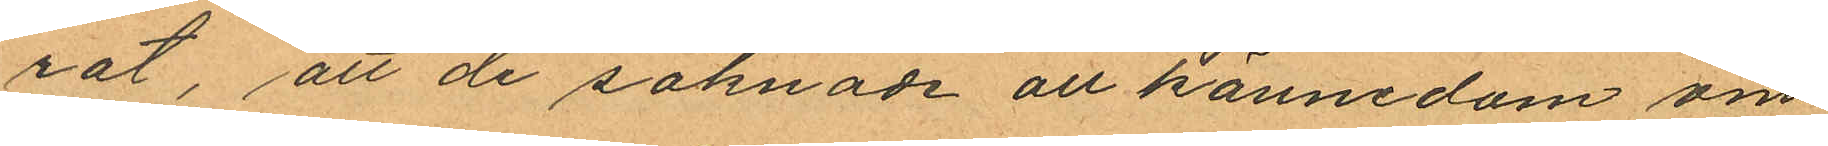rat, att de saknade all kännedom om
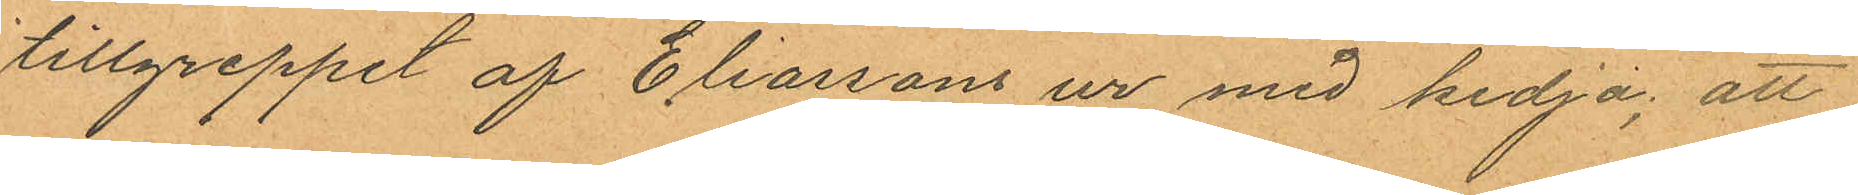tillgreppet af Eliassons ur med kedja; att
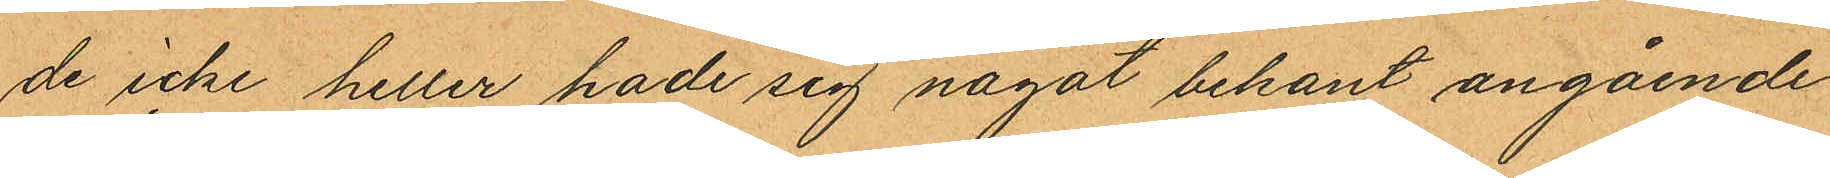de icke heller hade sig något bekant angående
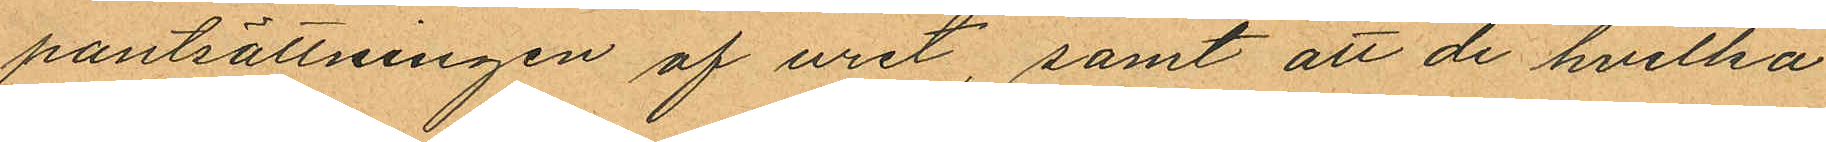pantsättningen af uret, samt att de hvilka
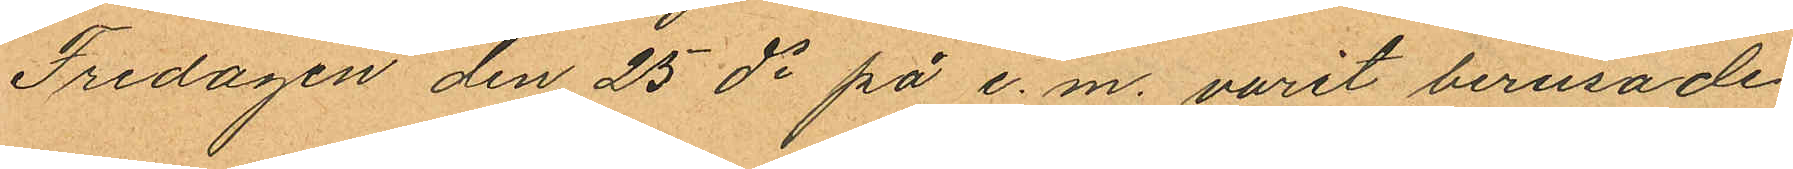Fredagen den 25 ds på e. m. varit berusade
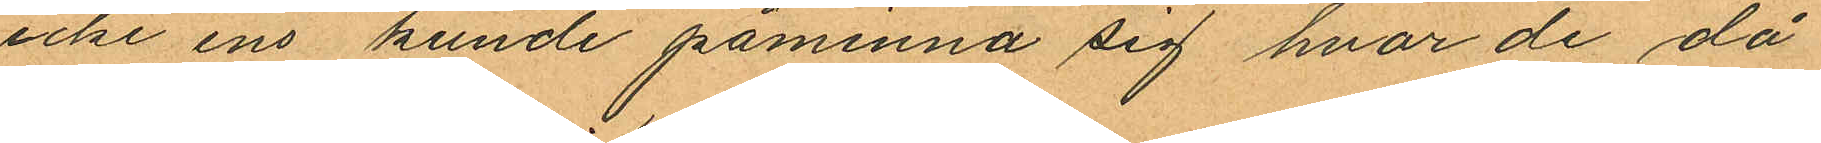icke ens kunde påminna sig hvar de då
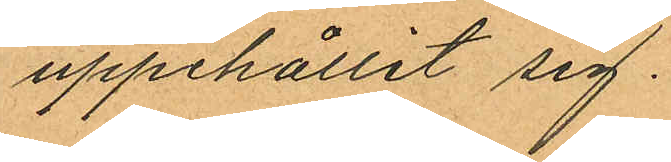uppehållit sig.
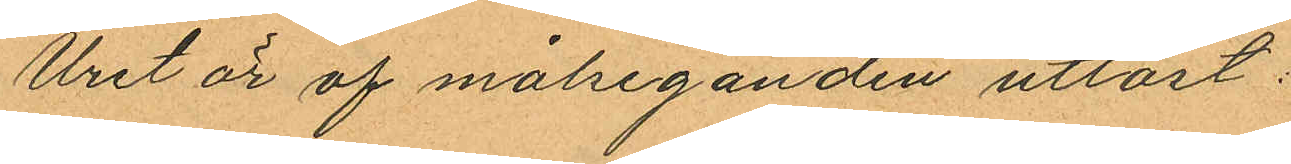Uret är af målseganden utlöst.
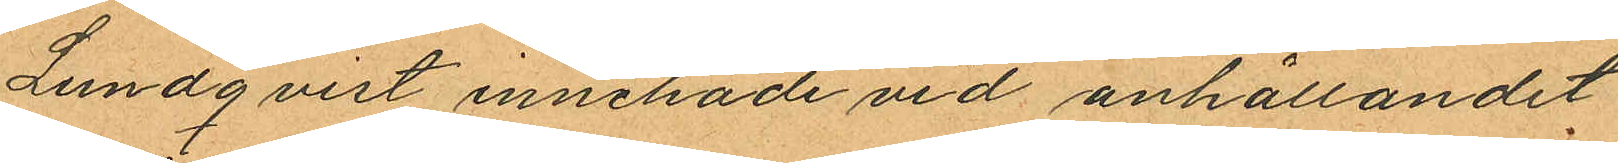Lundqvist innehade vid anhållandet
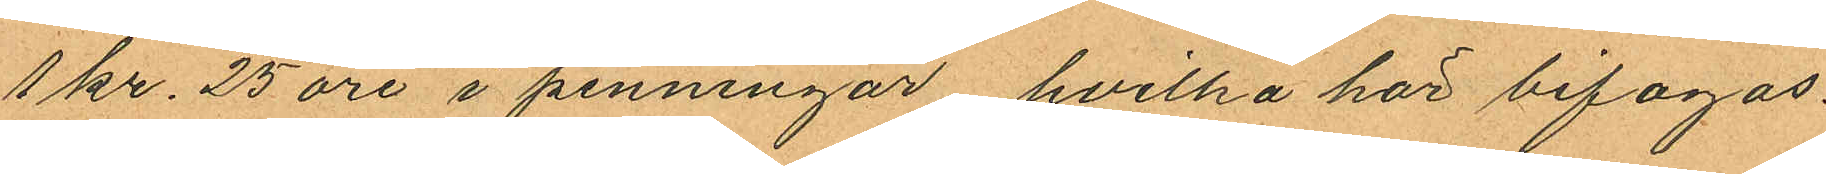1 kr. 25 öre i penningar hvilka har bifogas.
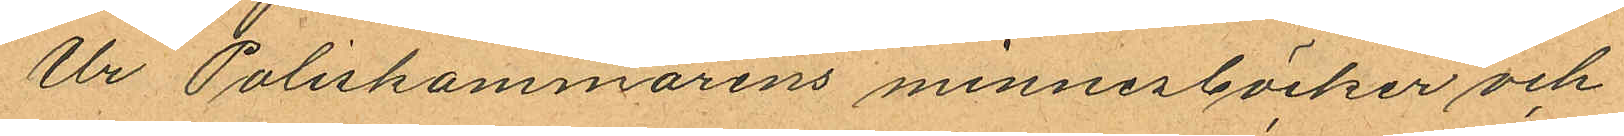Ur Poliskammarens minnesböcker och
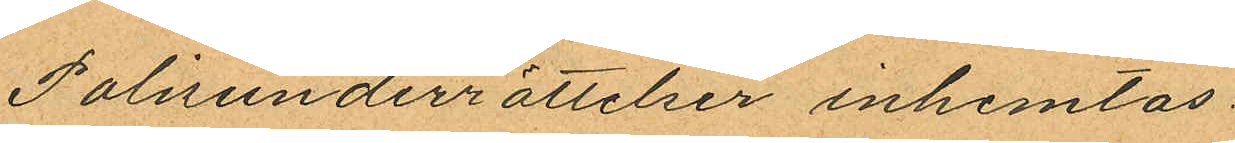Polisunderrättelser inhemtas:
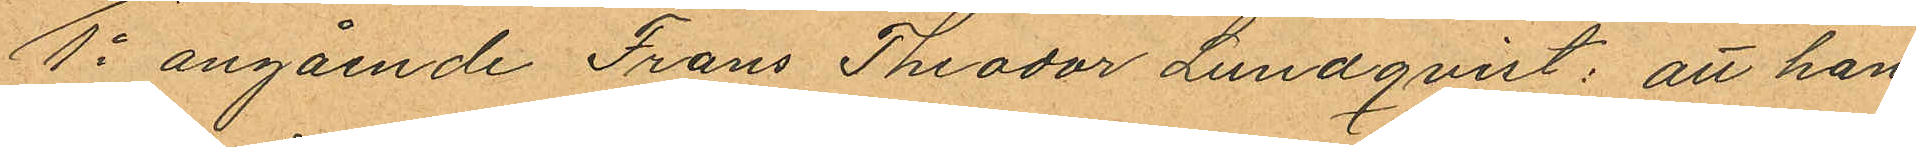1o angående Frans Theodor Lundqvist: att han
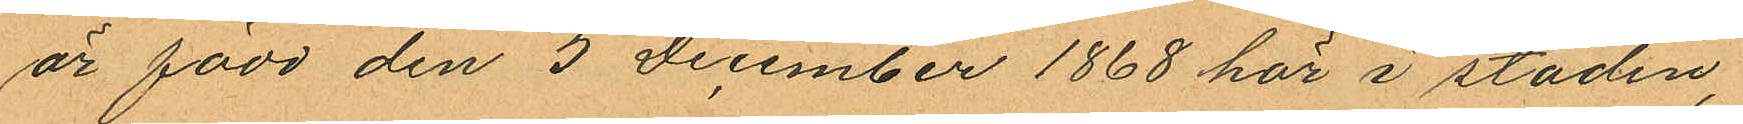är född den 5 December 1868 här i staden,
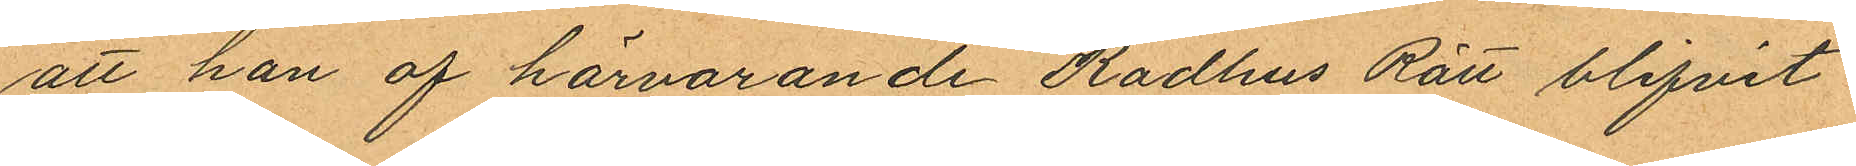att han af härvarande Rådhus Rätt blifvit
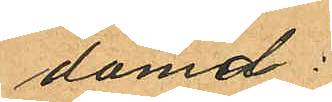dömd:
